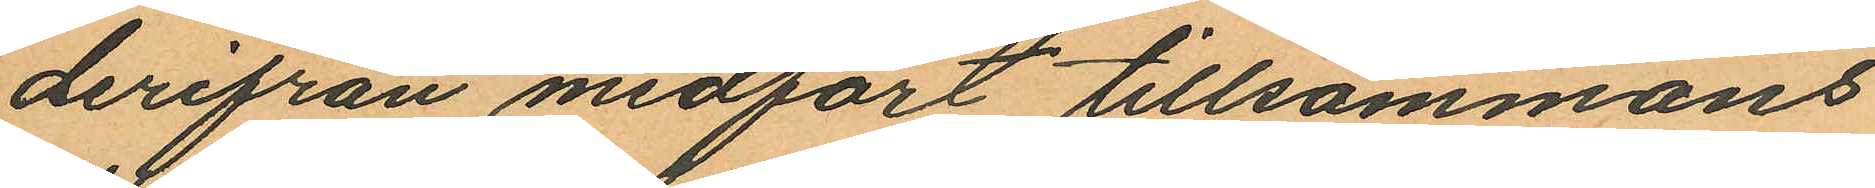derifrån medfört tillsammans
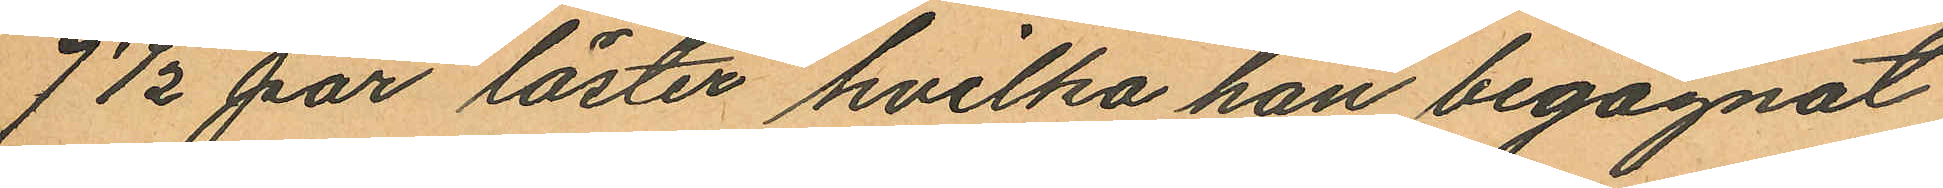7½ par läster hvilka han begagnat
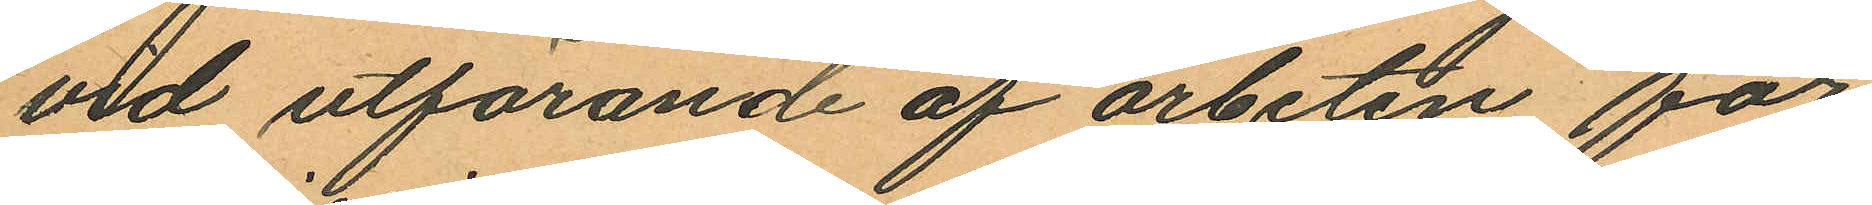vid utförande af arbeten för
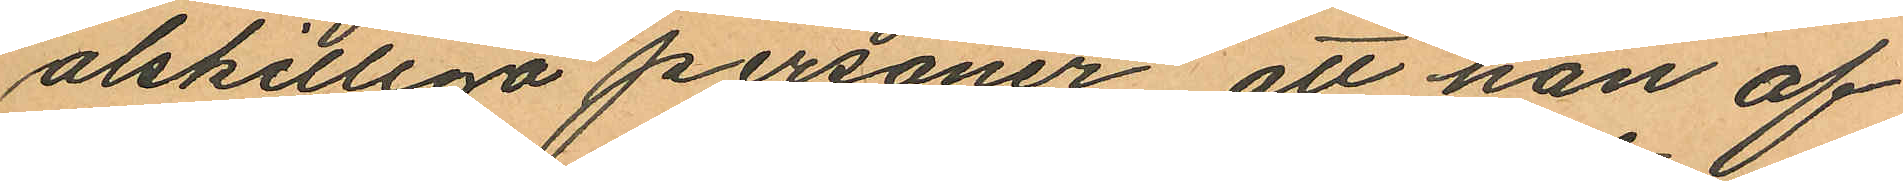alskilliga personer, att han af
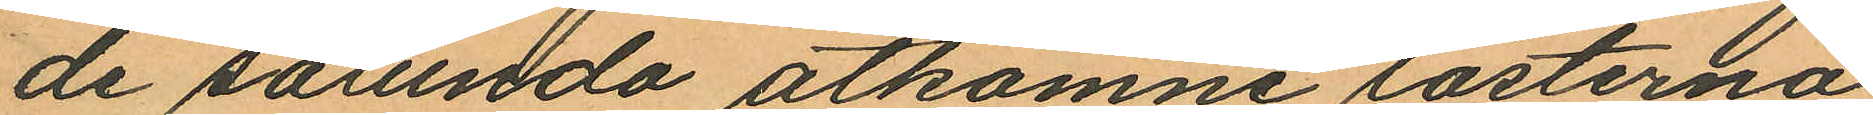de sålunda åtkomne lästerna
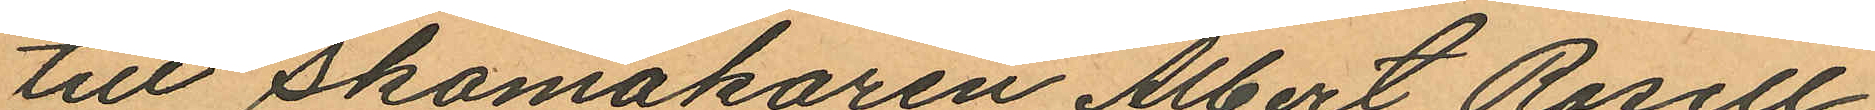till Skomakaren Albert Rosell,
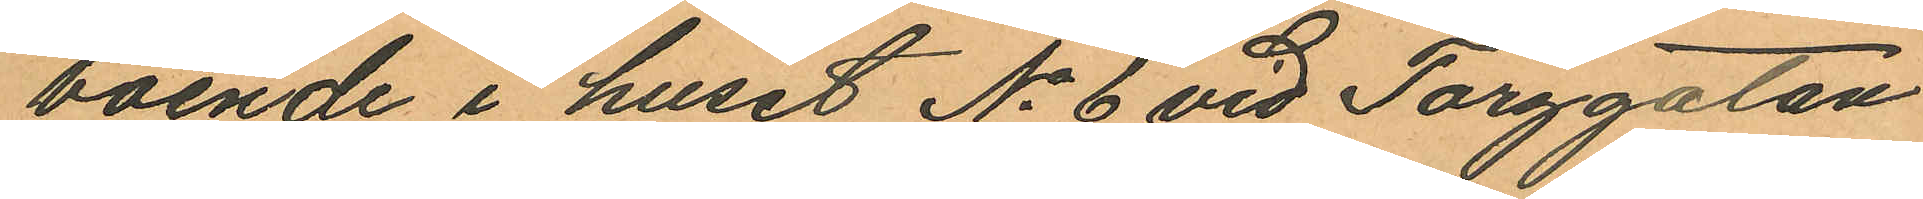boende i huset No 6 vid Torggatan
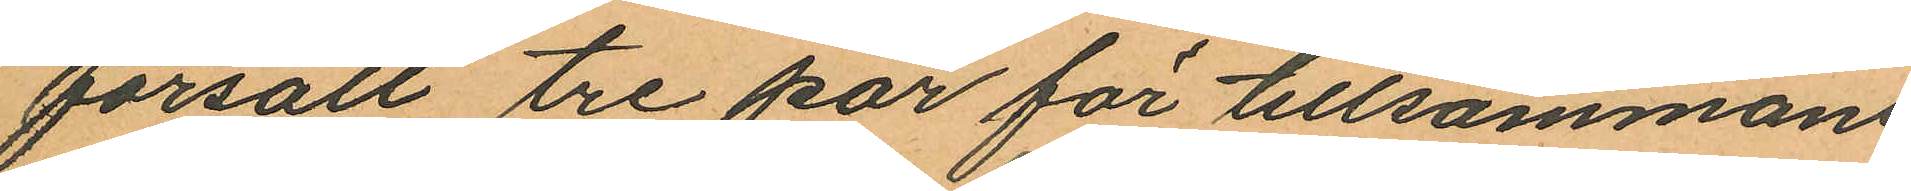försålt tre par för tillsammans
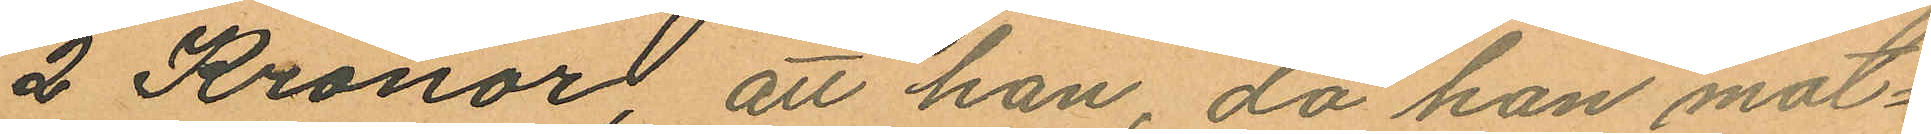2 Kronor, att han, då han mot¬
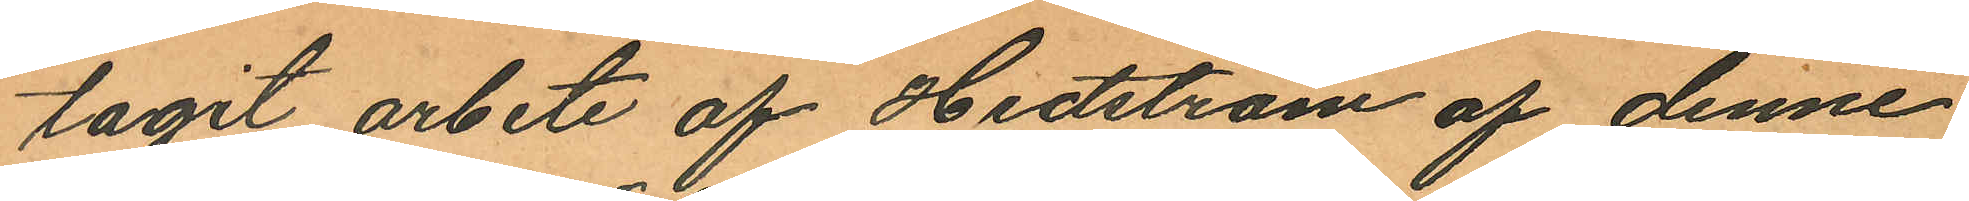tagit arbete af Hedström af denne
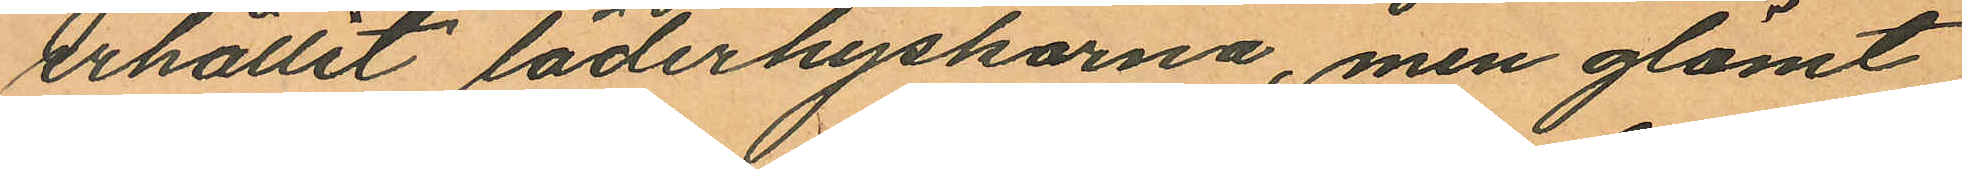erhållit läderhyskorna, men glömt
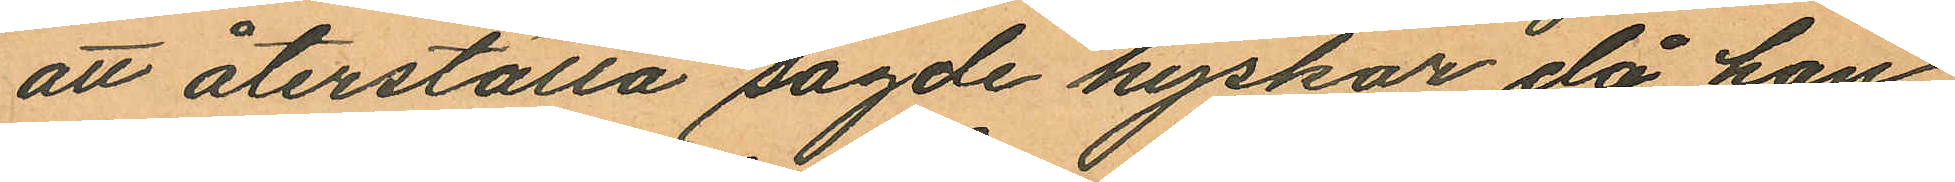att återställa sagde hyskor då han
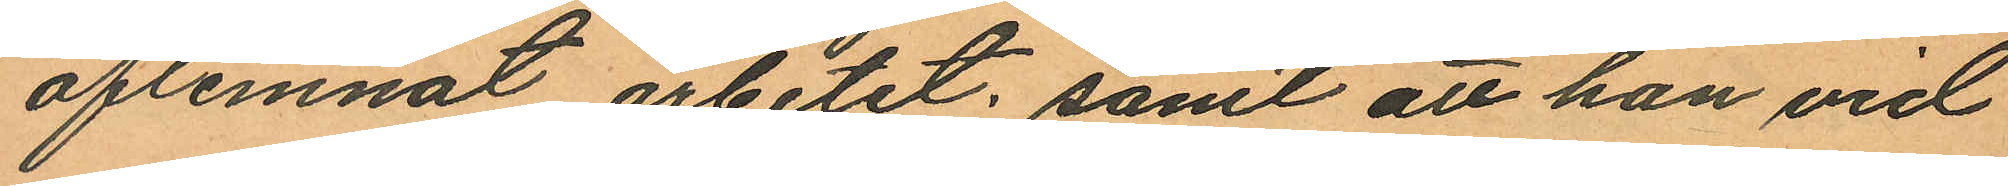aflemnat arbetet; samt att han vid
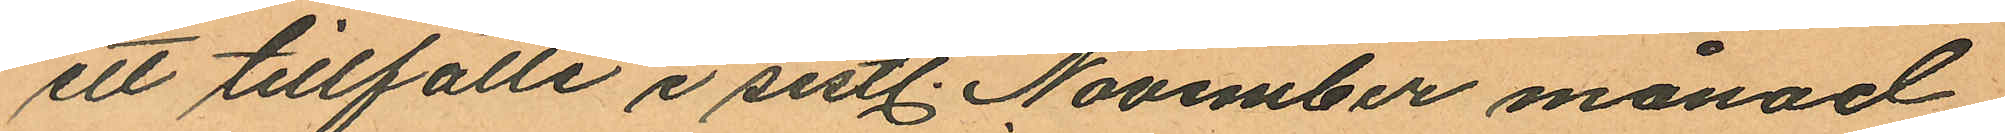ett tillfälle i sistl. November månad
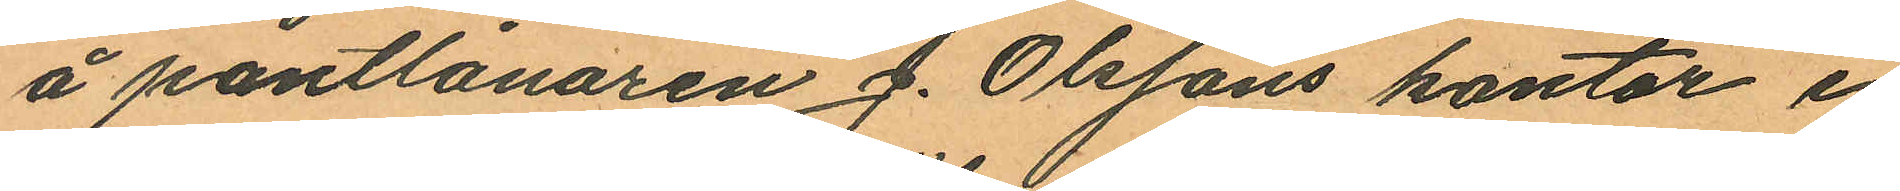å pantlånaren J. Olssons kontor i
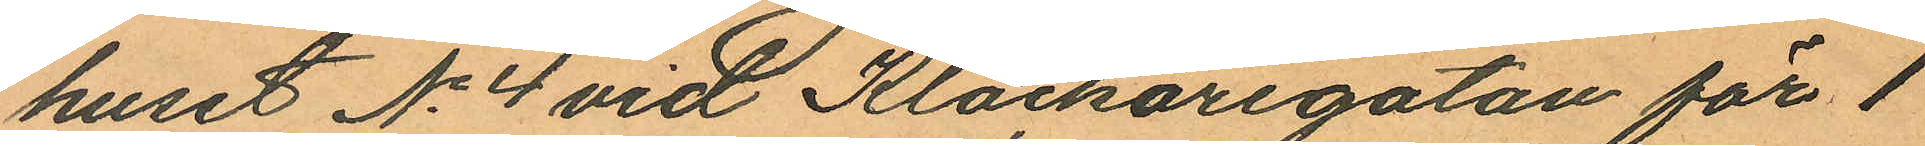huset No 4 vid Klockaregatan för 1
